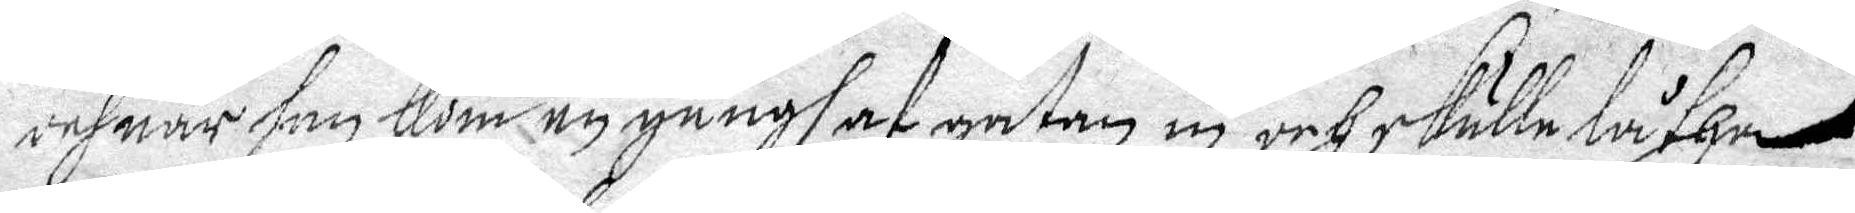och när han Kom en gångh af gatan in och skulle låtha
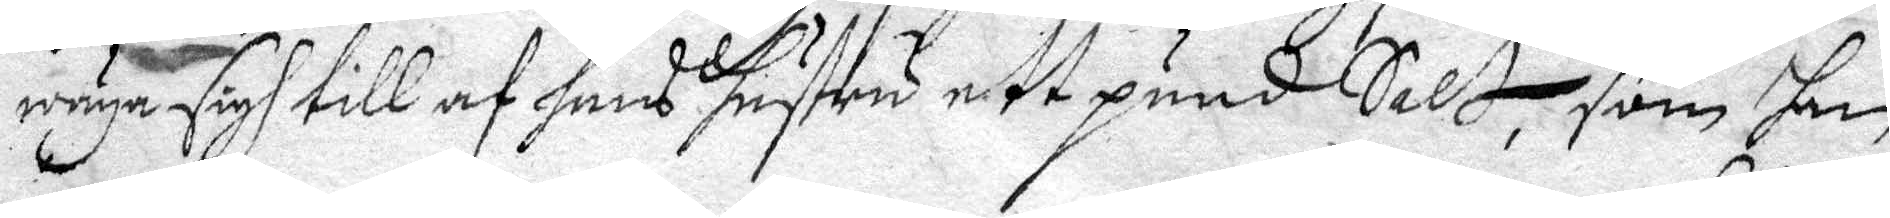wäga sifh till af hans hustru ett pund Salt, som han
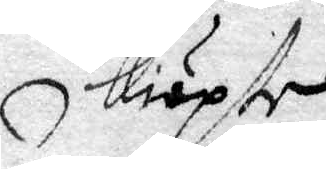kiöpte
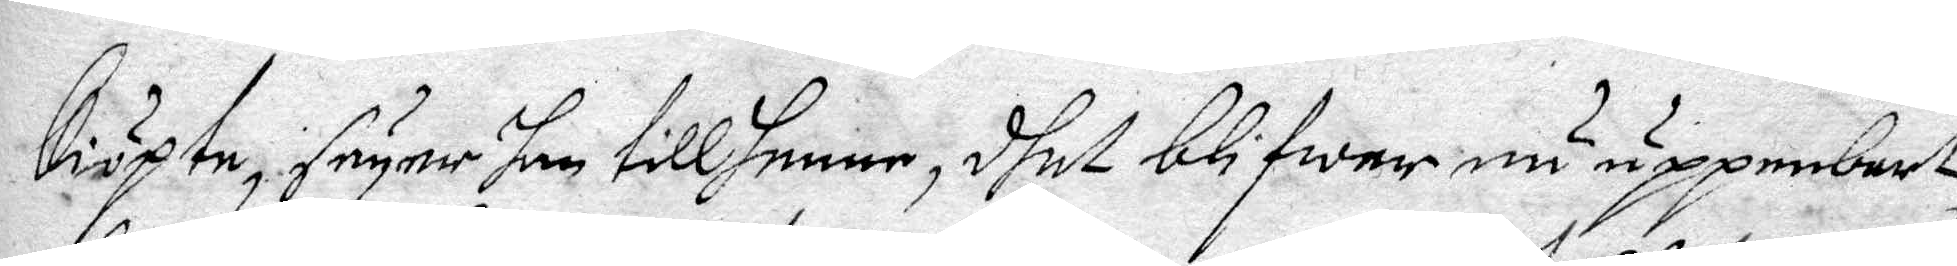kiöpte, säyer han till henne, dhet blifwer nu uppenbart
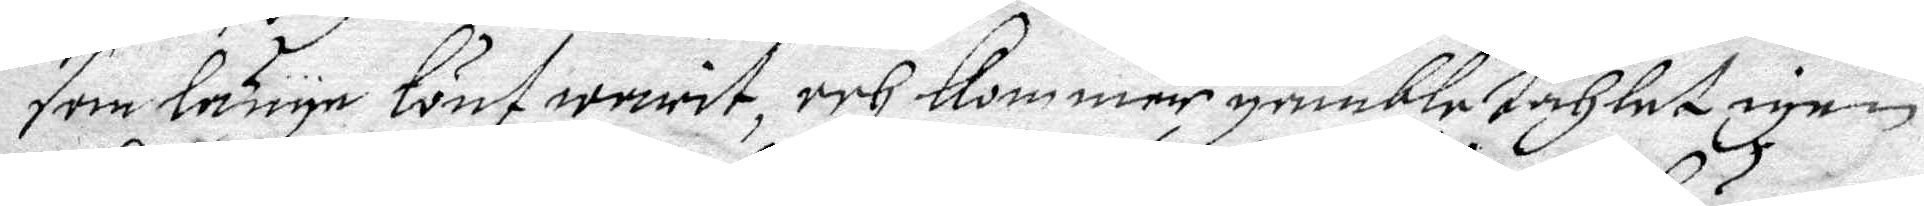som länge lönt warit, och kommer gambla tahlet igen.
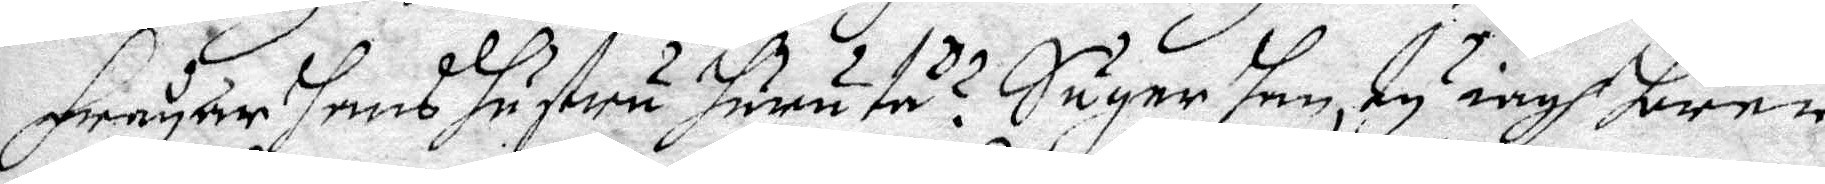Frågar Hans Hustru Huru tå? Säyer Han, ty iagh hörer
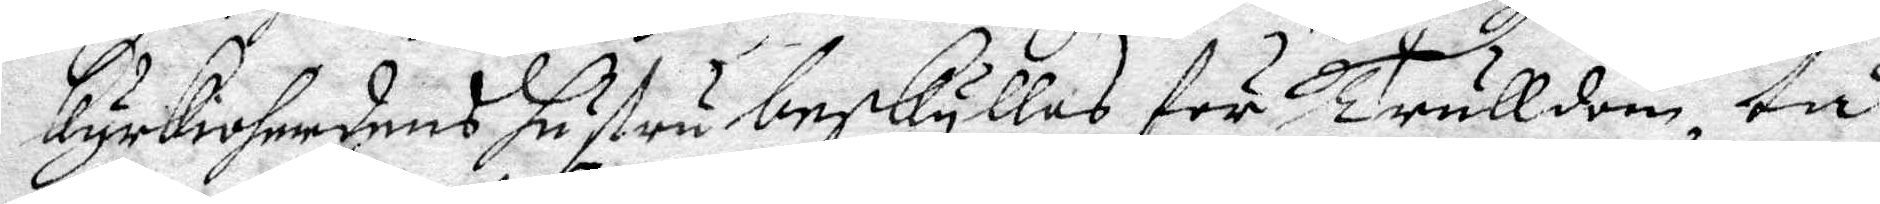Kyrkioherdens Hustru beskylles för Trulldom, tå
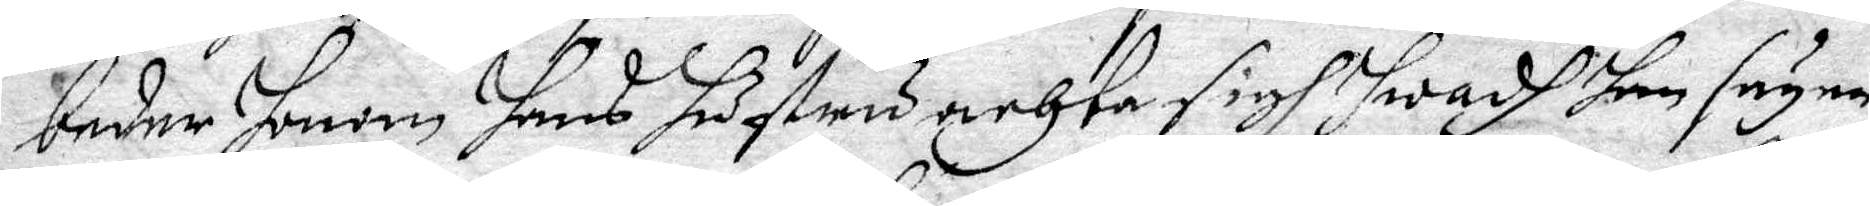beder Honom Hans Hustru achta sigh hwadh Han säyer,
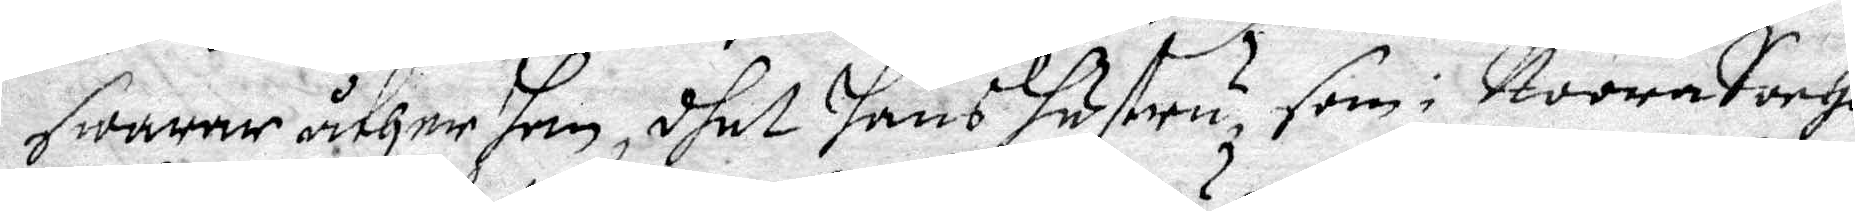swarar åther Han, dhet Hans Hustru, som i Noora Sochn
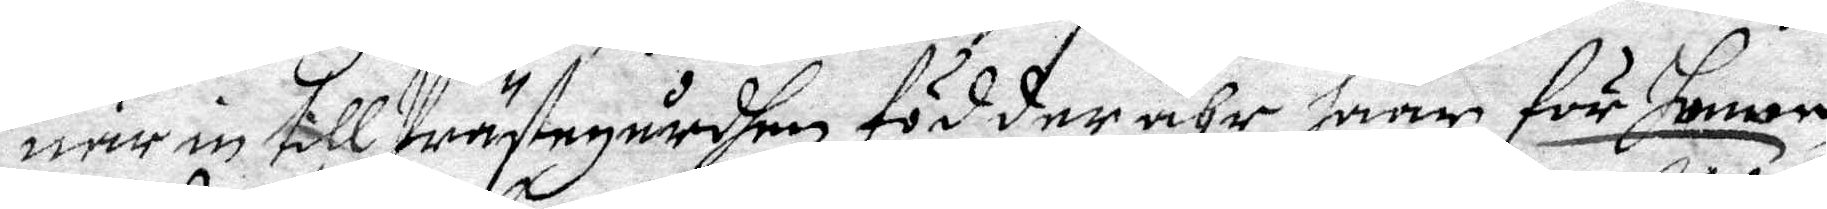när in till Prästegårdhen födder ähr, haar för Honom
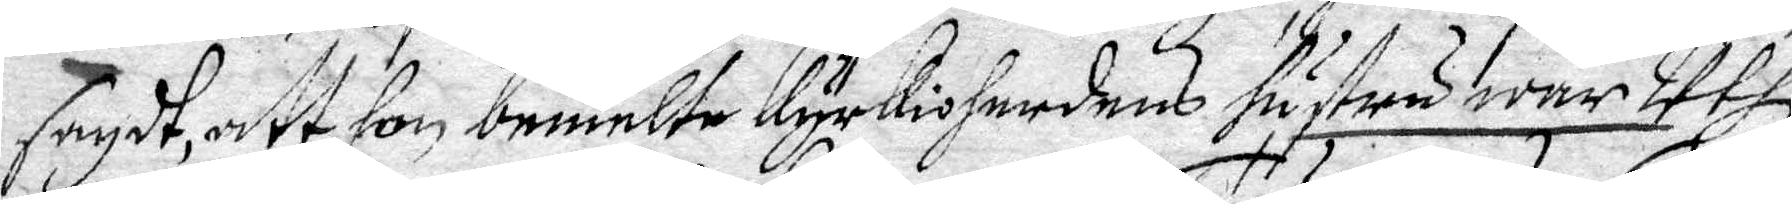sagdt, att hon bemelte Kyrkioherdens hustru war Uthi
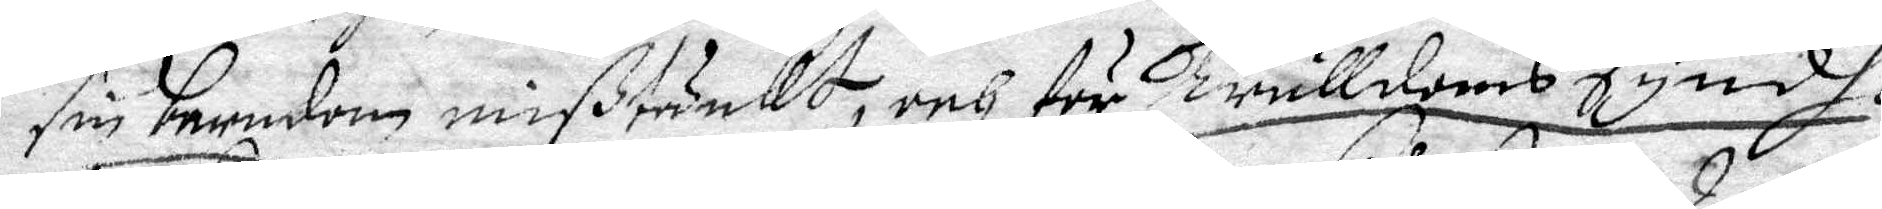sin barndom mißtänkt, och för Trulldoms syndh i
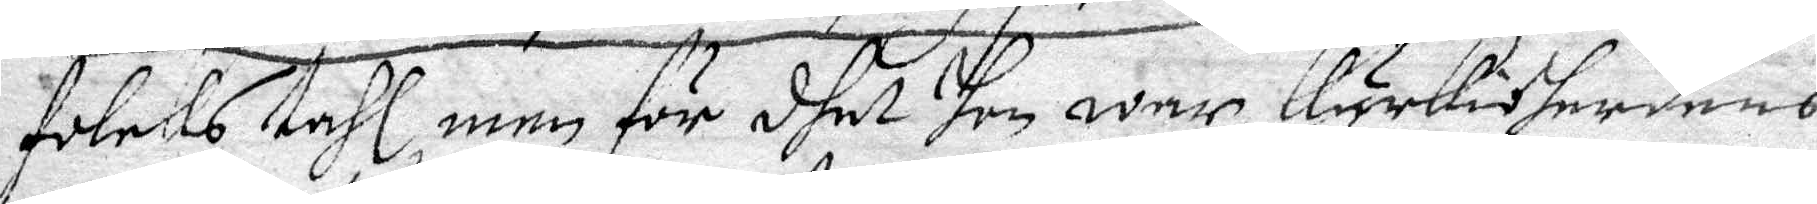Folcks tahl, men för dhet Hon war Kyrkioherdens
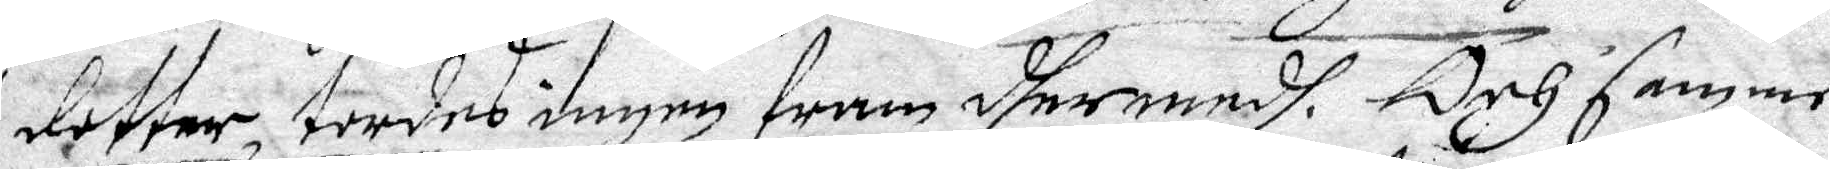dotter, tordes ingen fram dhermedh. Och samme
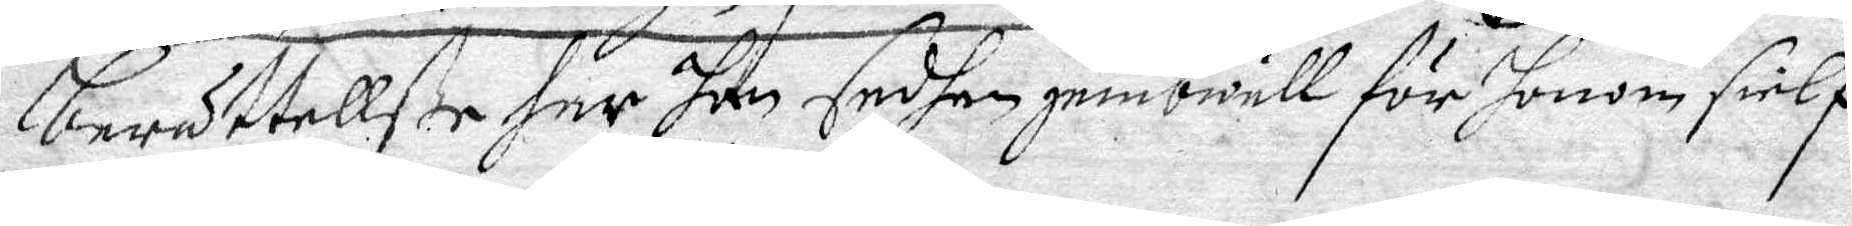berättelße har hon sedhan jembwäll för honom sielf
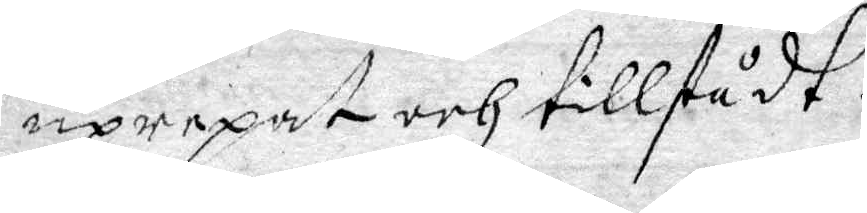uprepat och tillstådt.
